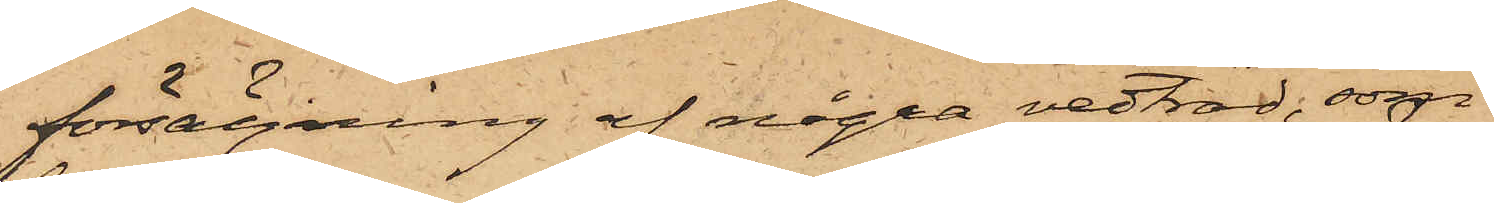försäljning af några vedträd, som
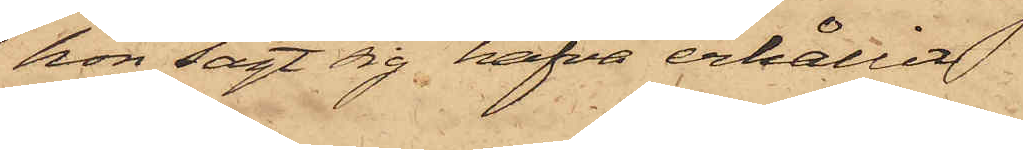hon sagt sig hafva erhållit.
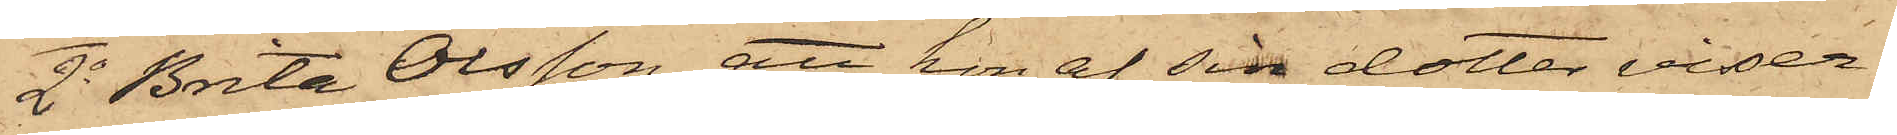2o Brita Olsson, att hon af sin dotter visser¬
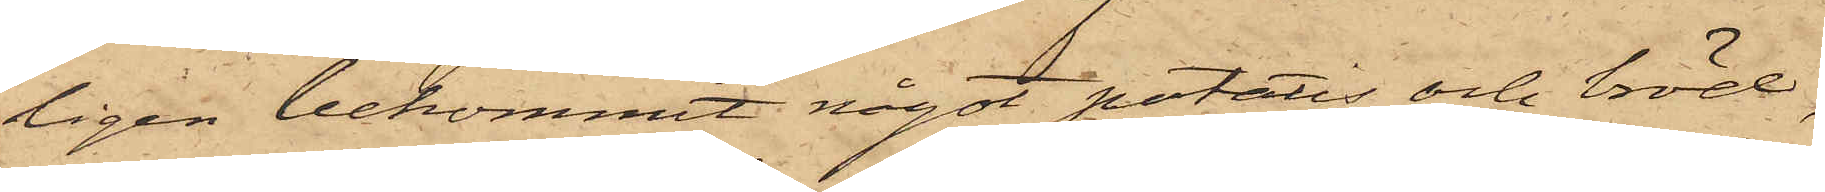ligen bekommit något potatis och bröd,
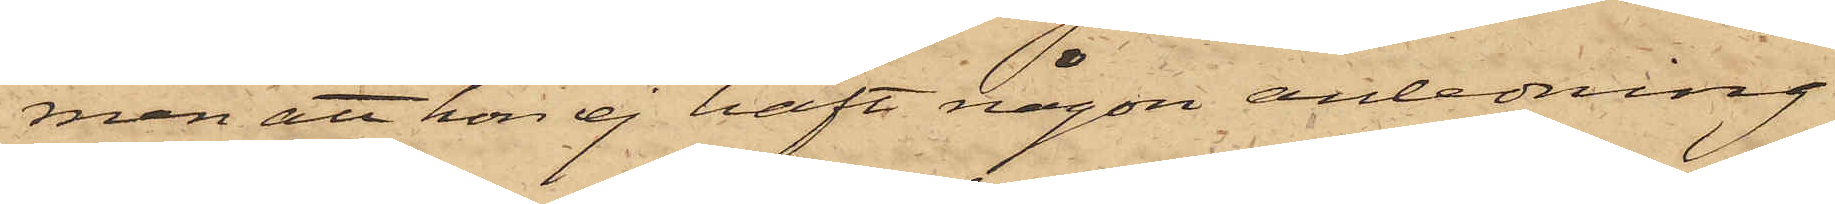men att hon ej haft någon anledning
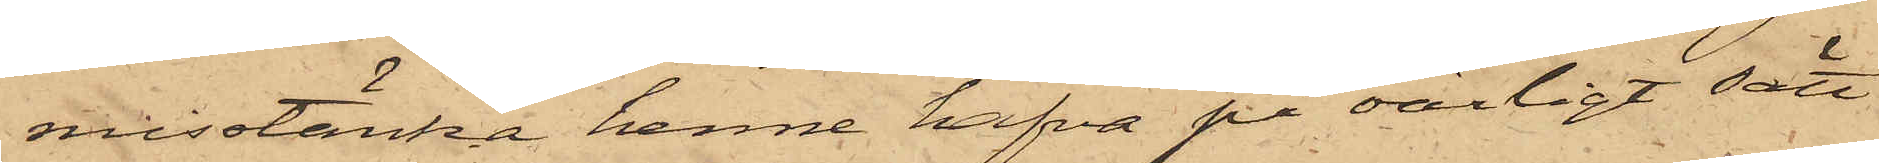misstänka henne hafva på oärligt sätt
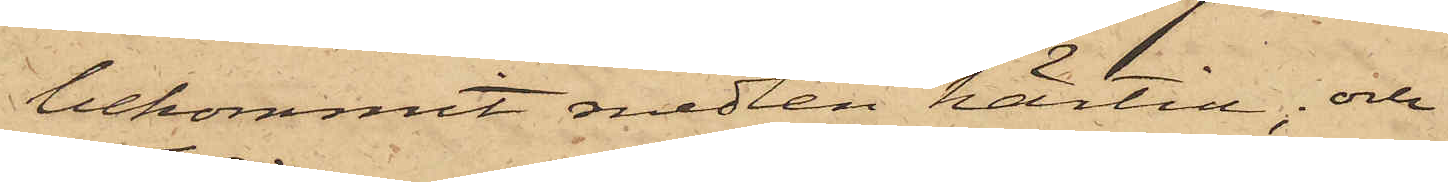bekommit medlen härtill; och
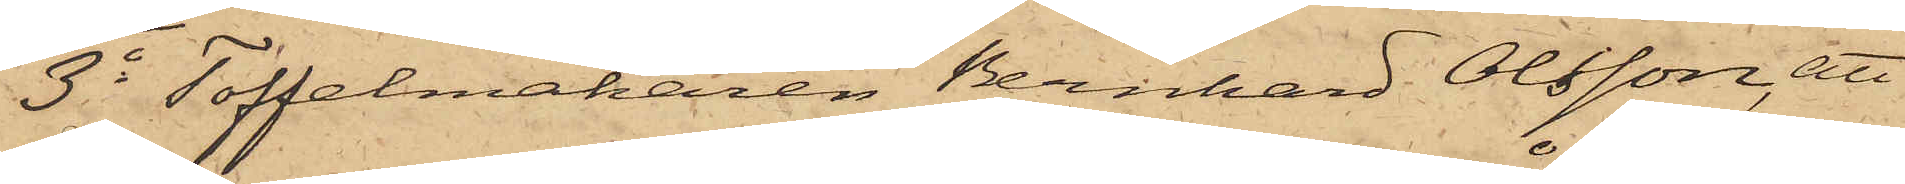3o Toffelmakaren Bernhard Olsson, att
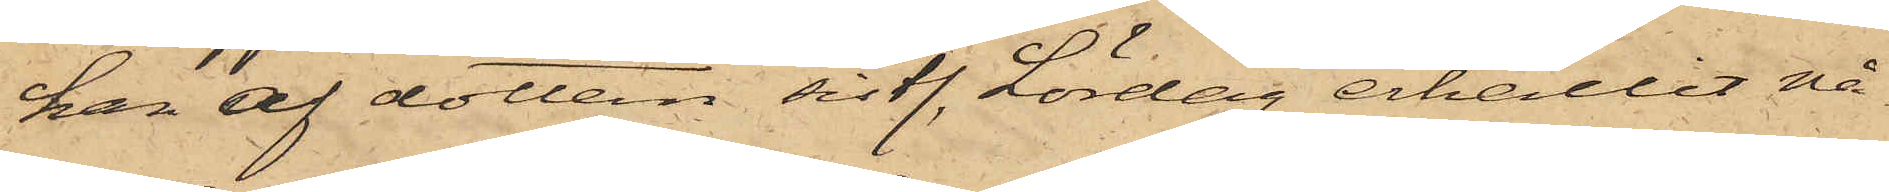han af dottern sistl. Lördag erhållit nå¬
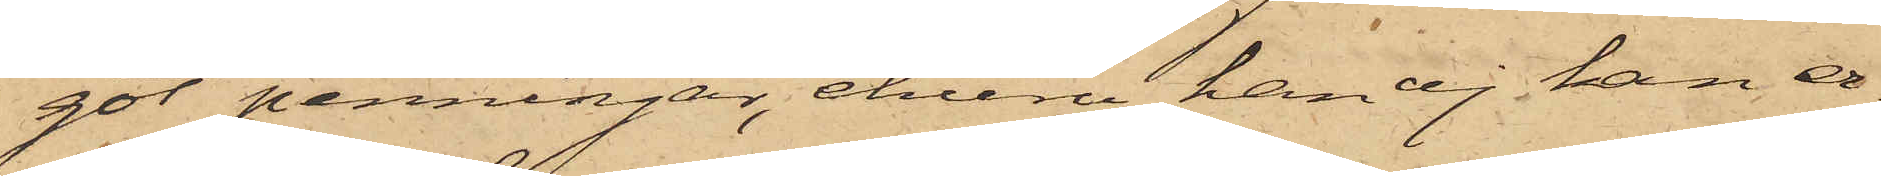got penningar, ehuru han ej kan er¬
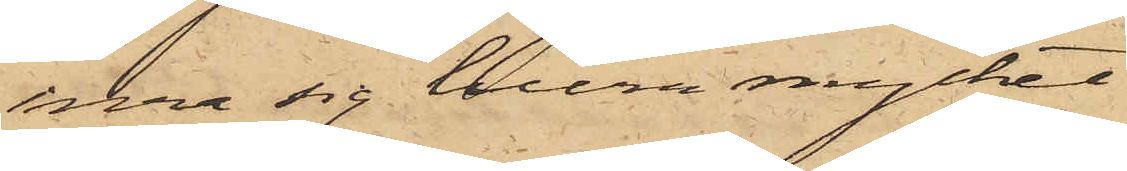inra sig huru mycket.
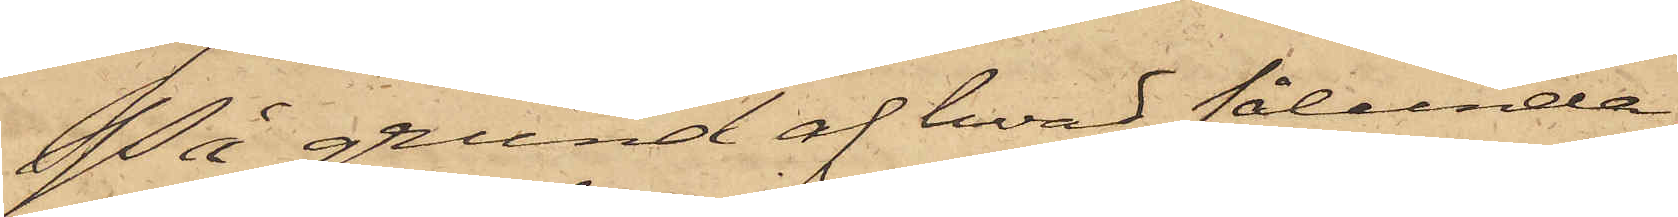På grund af hvad sålunda
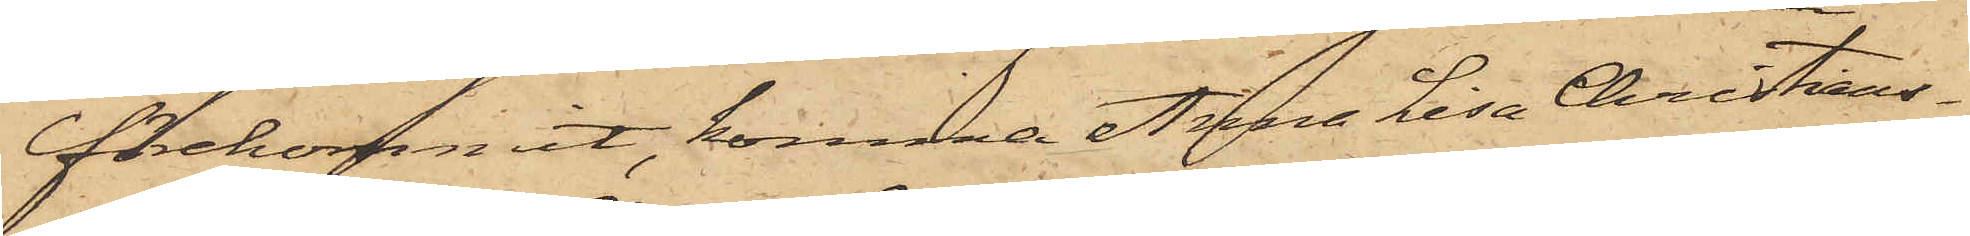förekommit, komma Anna Lisa Christians¬
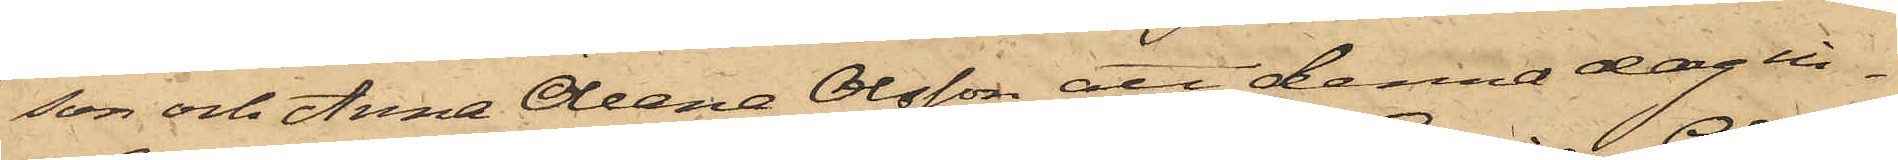son och Anna Olena Olsson att denna dag in¬
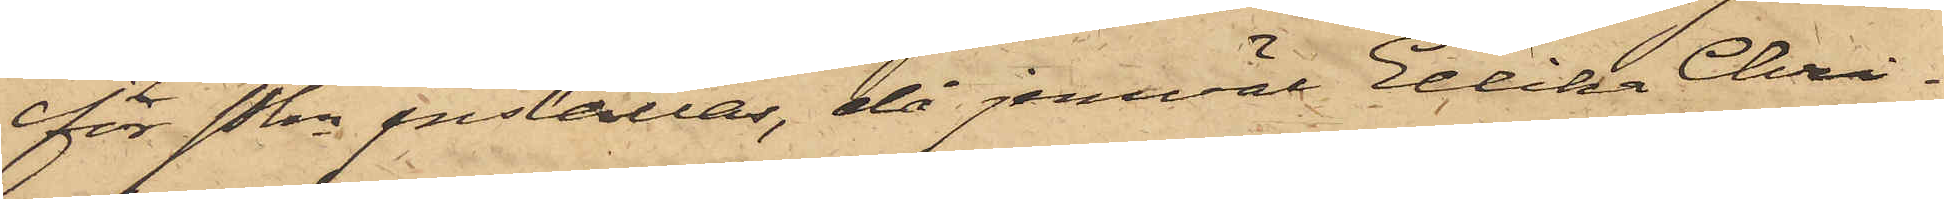för Pkn inställas, då jemväl Ellika Chri¬
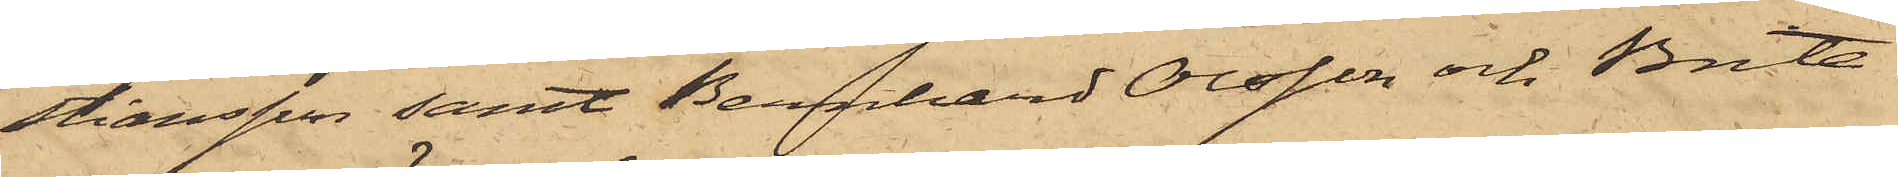stiansson samt Bernhard Olsson och Brita
